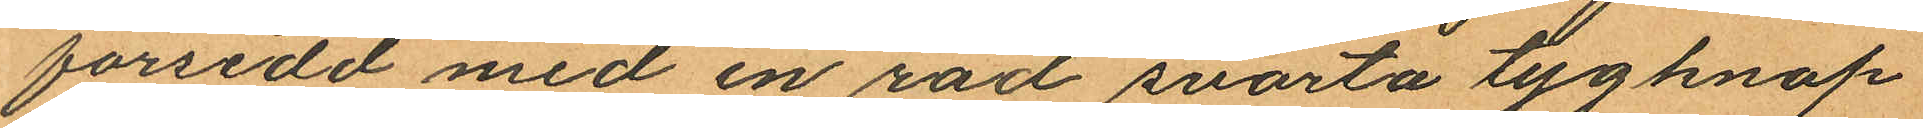försedd med en rad svarta tygknap
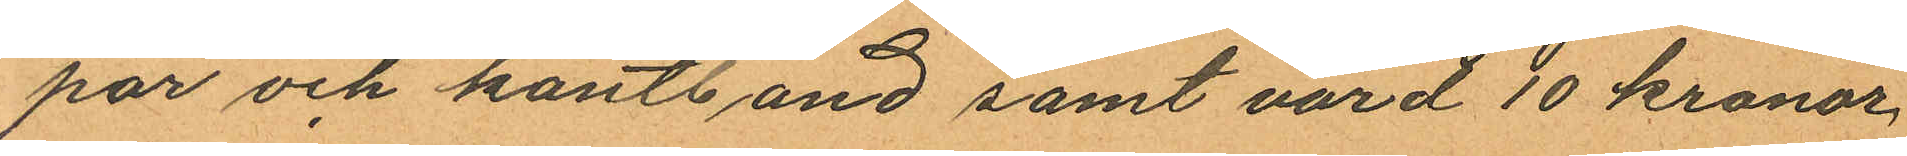par och kantband samt värd 10 kronor,
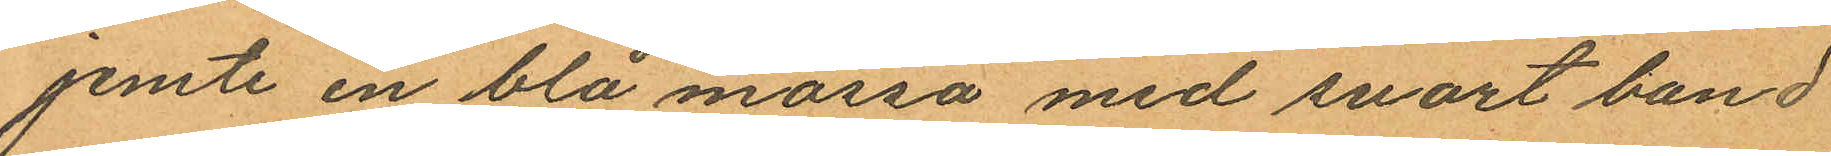jemte en blå mössa med svart band
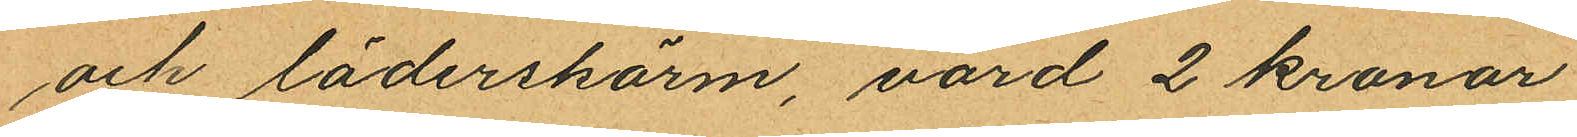och läderskärm, värd 2 kronor.
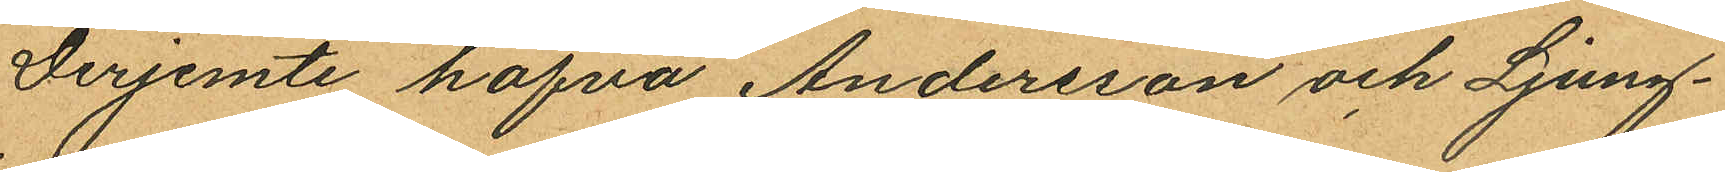Derjemte hafva Andersson och Ljung¬
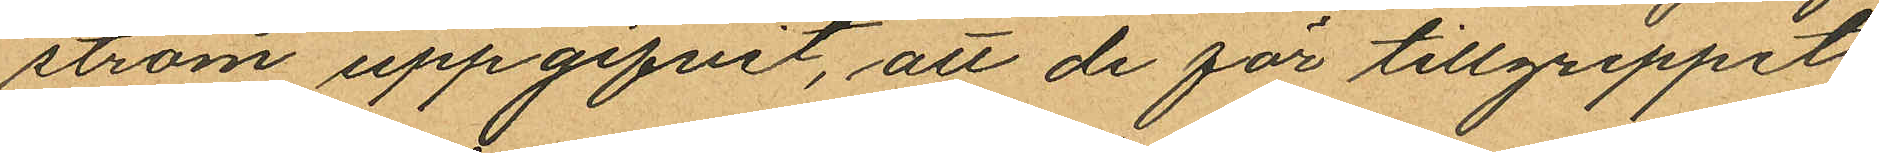ström uppgifvit, att de för tillgreppet
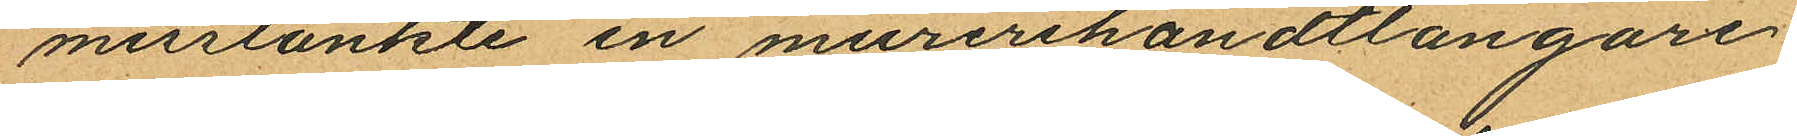misstänkte en murerihandtlangare
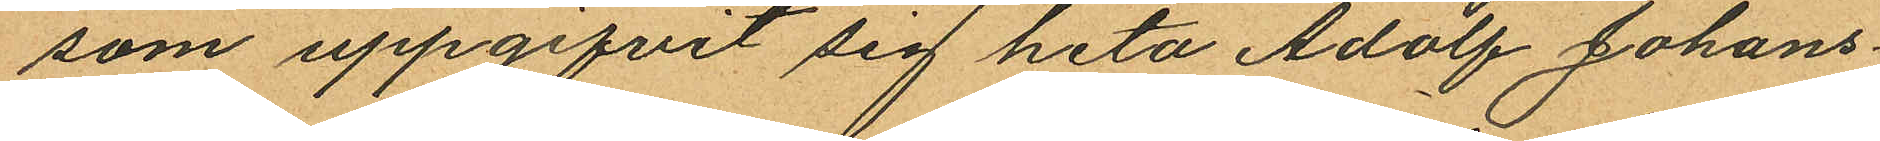som uppgifvit sig heta Adolf Johans¬
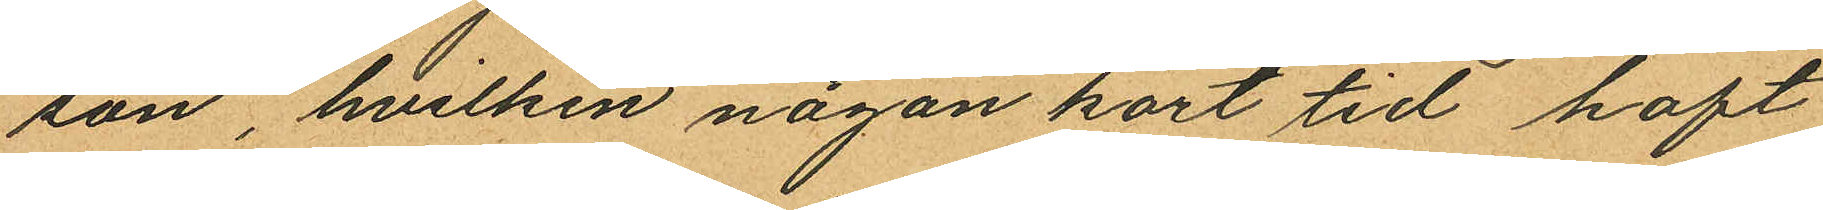son, hvilken någon kort tid haft
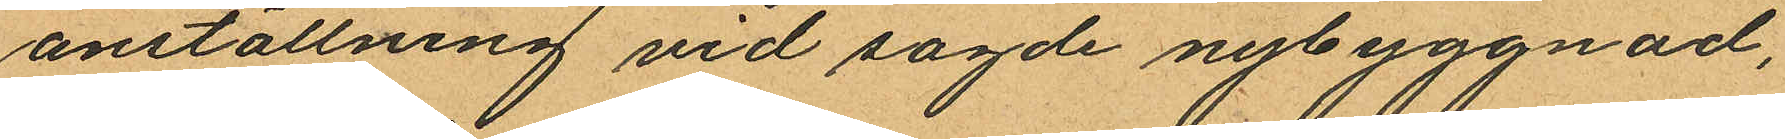anställning vid sagde nybyggnad,
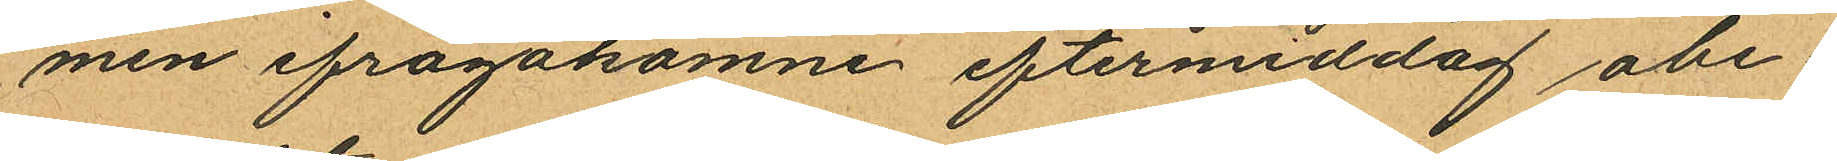men ifrågakomne eftermiddag obe¬
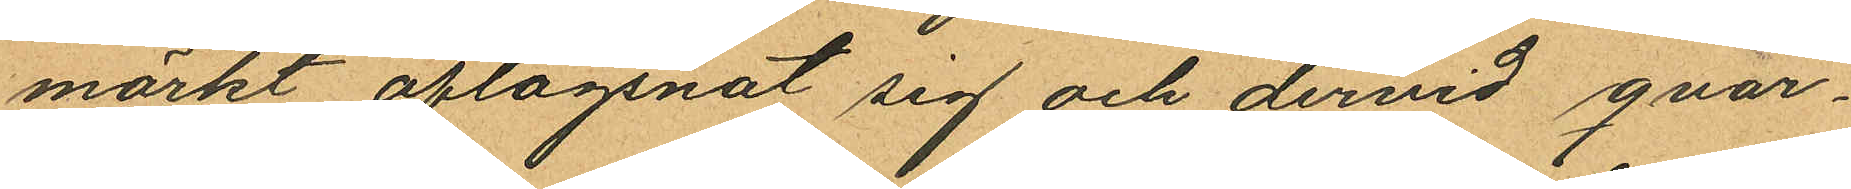märkt aflägsnat sig och dervid qvar¬
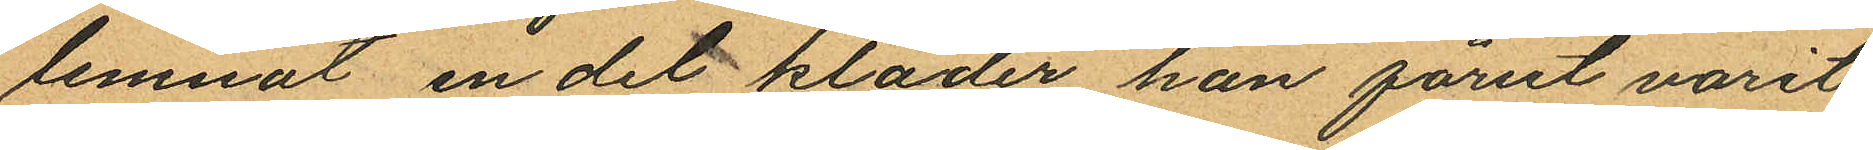lemnat en del kläder han förut varit
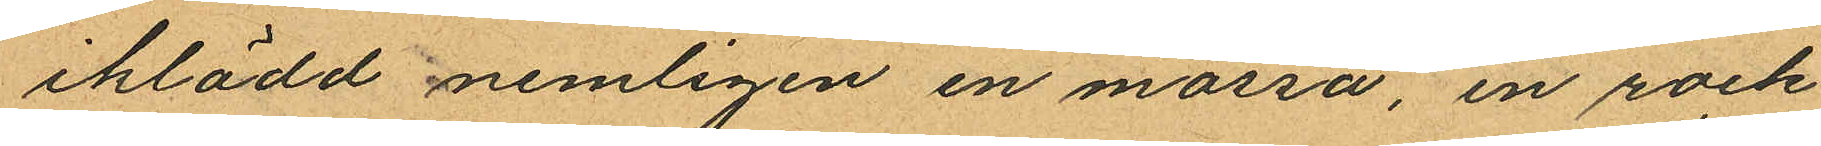iklädd nemligen en mössa, en rock
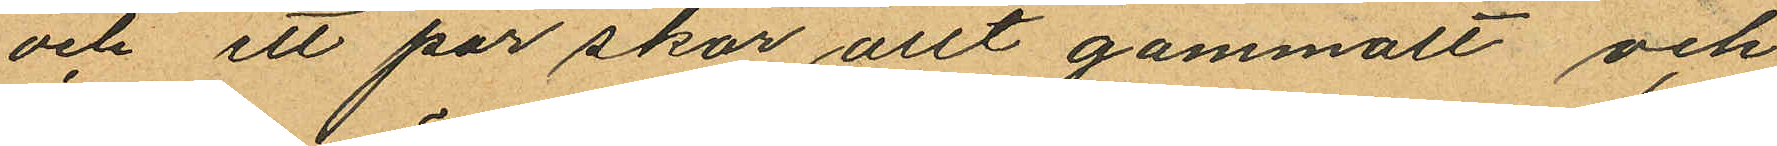och ett par skor allt gammalt och
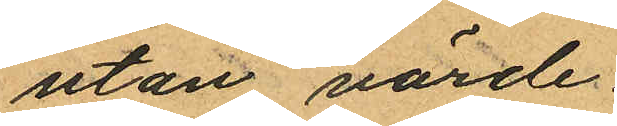utan värde.
